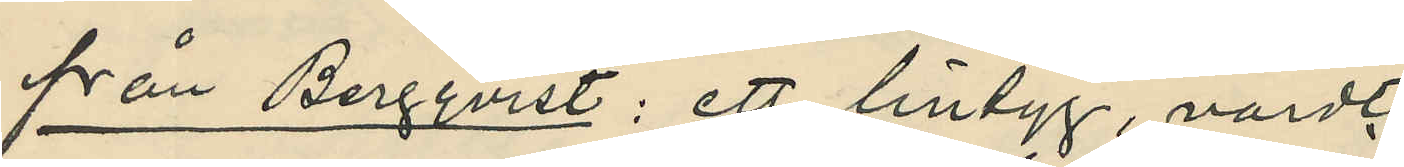från Bergqvist: ett lintyg, värdt
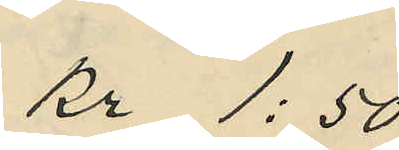kr 1:50
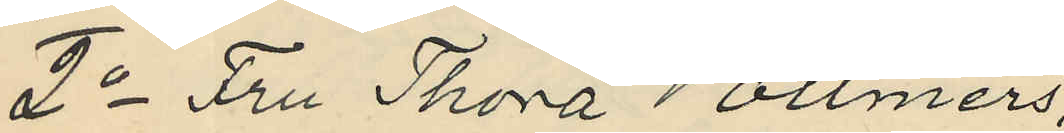2o Fru Thora Vollmers
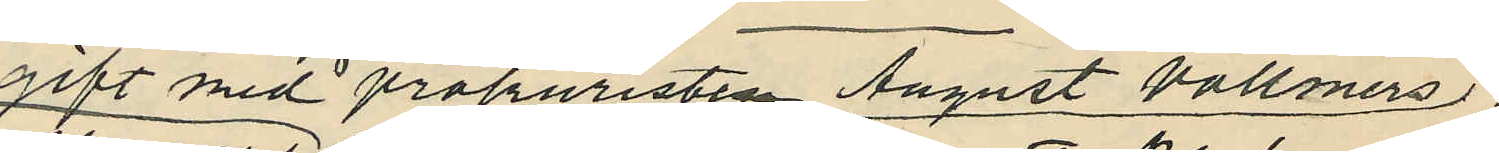gift med prokuristen August Vollmers
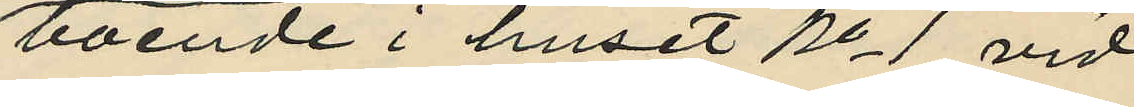boende i huset No 1 vid
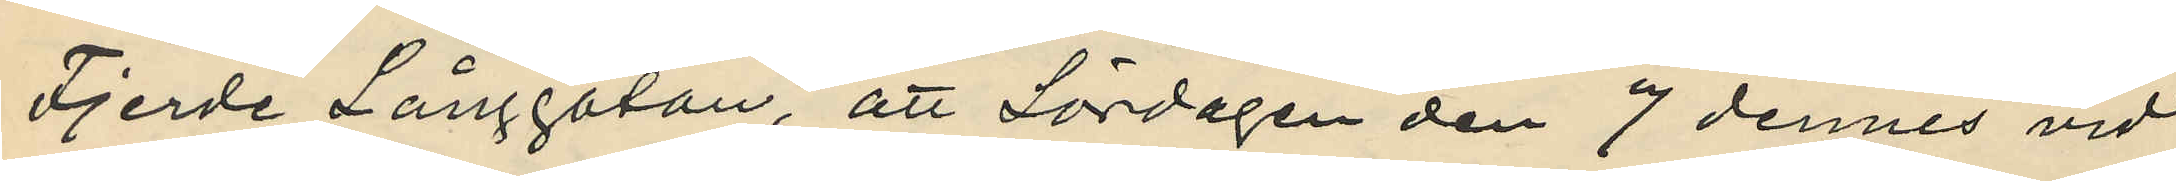Fjerde Långgatan, att Lördagen den 7 dennes vid
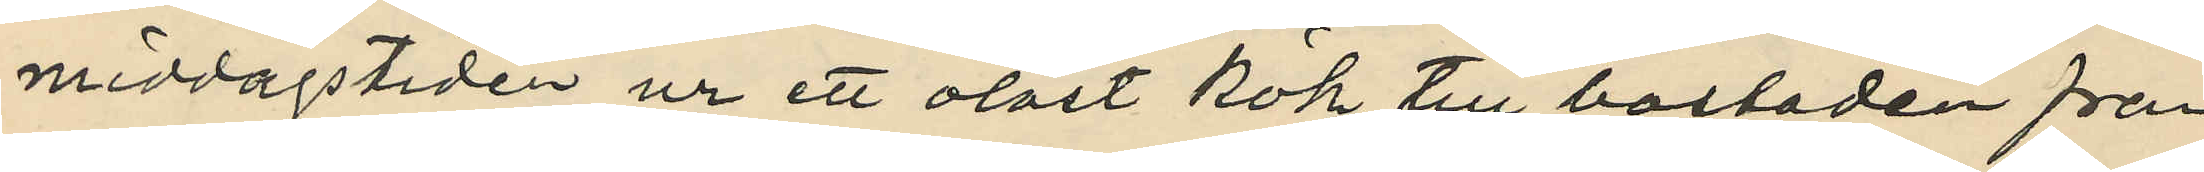middagstiden ur ett olåst kök till bostaden från
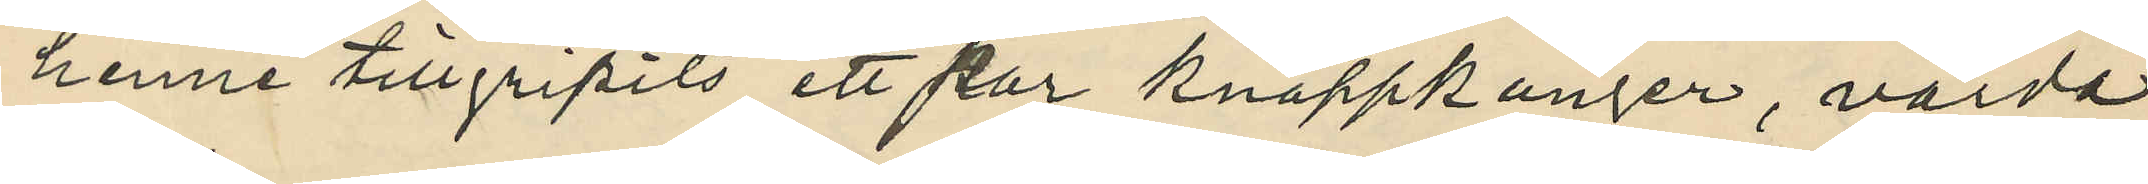henne tillgripits ett par knappkänger, värda
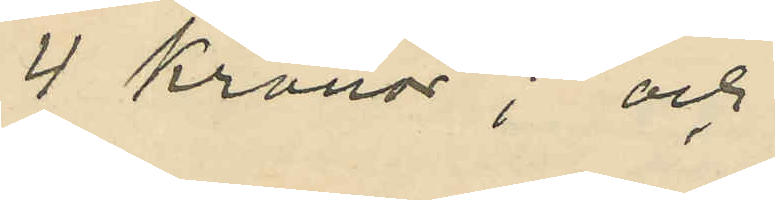4 Kronor; och
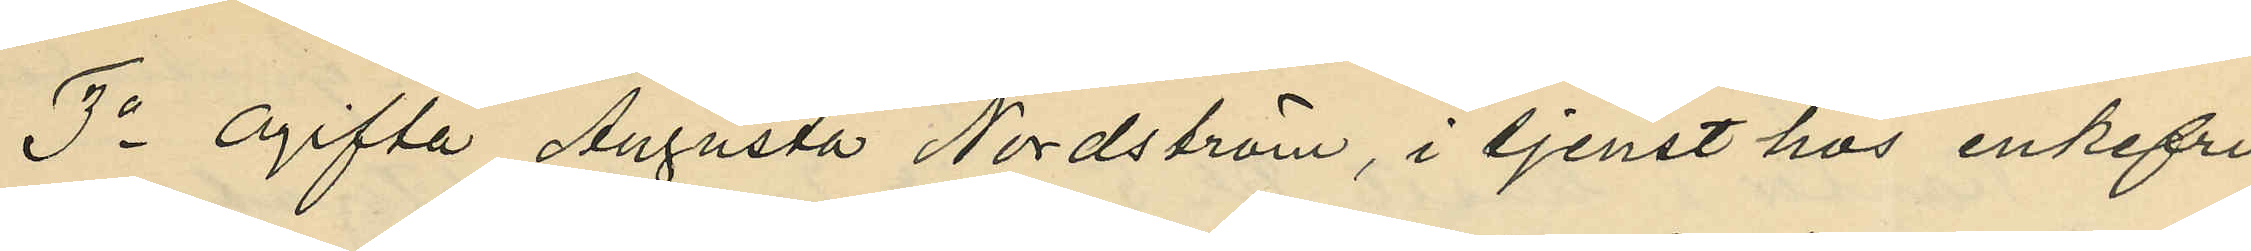3o Ogifta Augusta Nordström, i tjenst hos enkefru
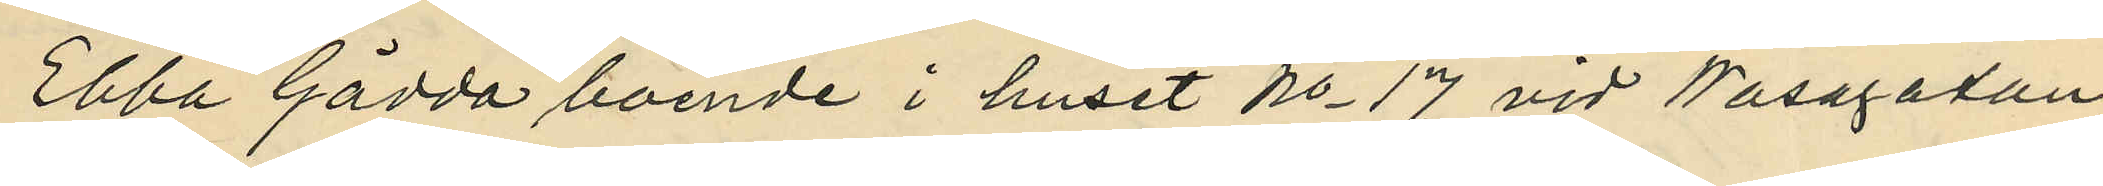Ebba Gädda boende i huset No 17 vid Wasagatan,
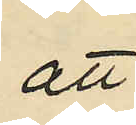att
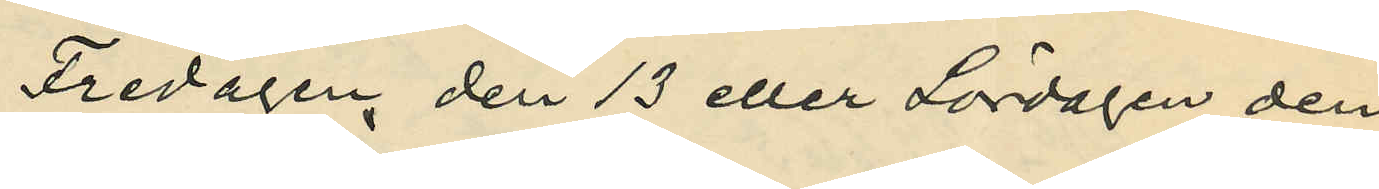Fredagen den 13 eller Lördagen den
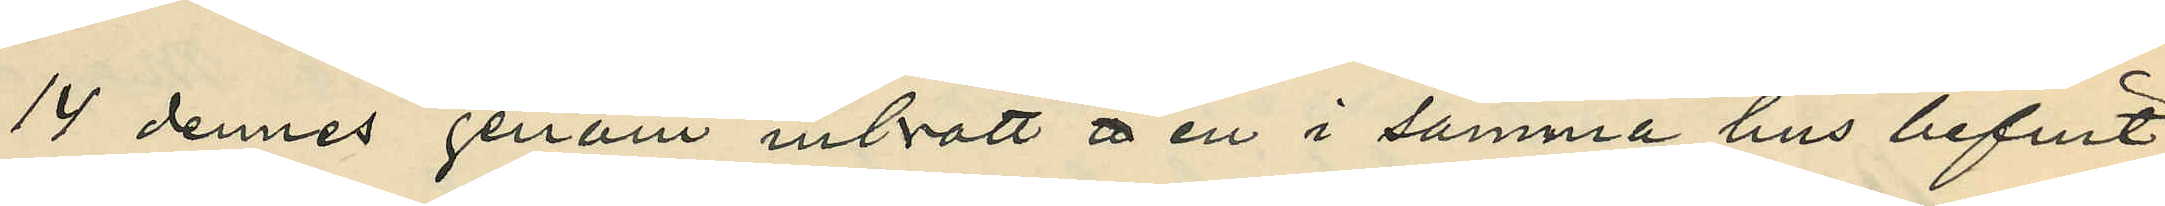14 dennes genom inbrott i en i samma hus befit¬
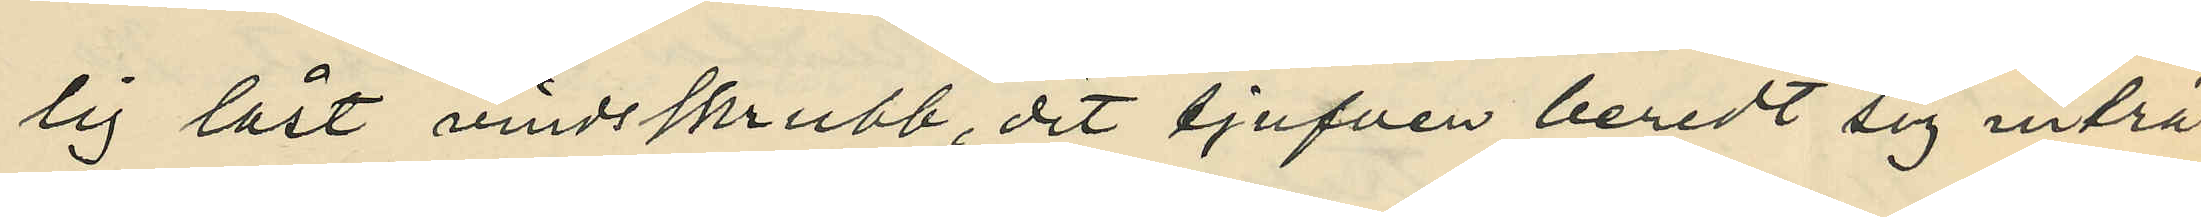lig låst vindsskrubb, dit tjufven beredt sig inträ¬
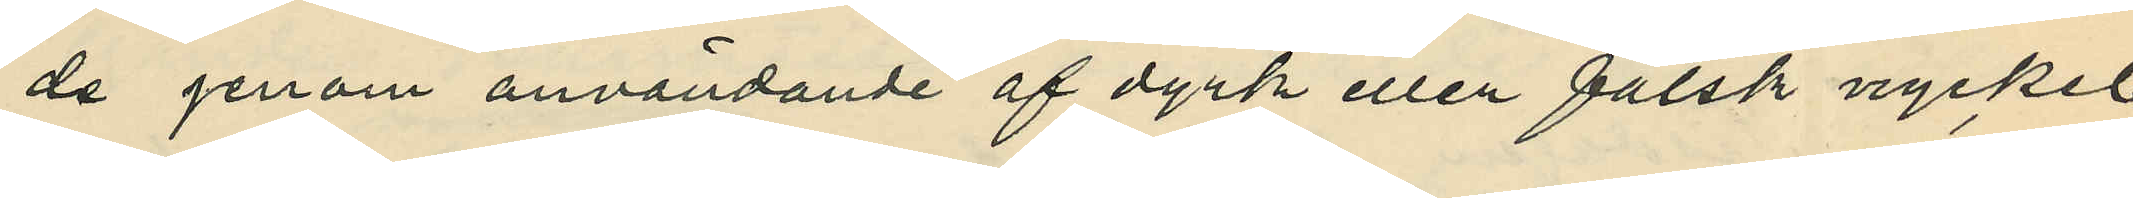de genom användande af dyrk eller falsk nyckel
